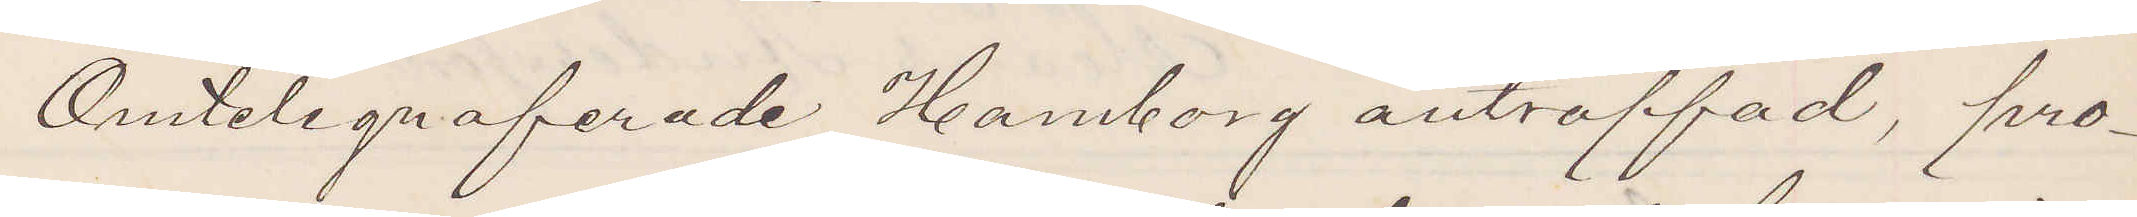Omtelegraferade Hamborg anträffad, pro¬
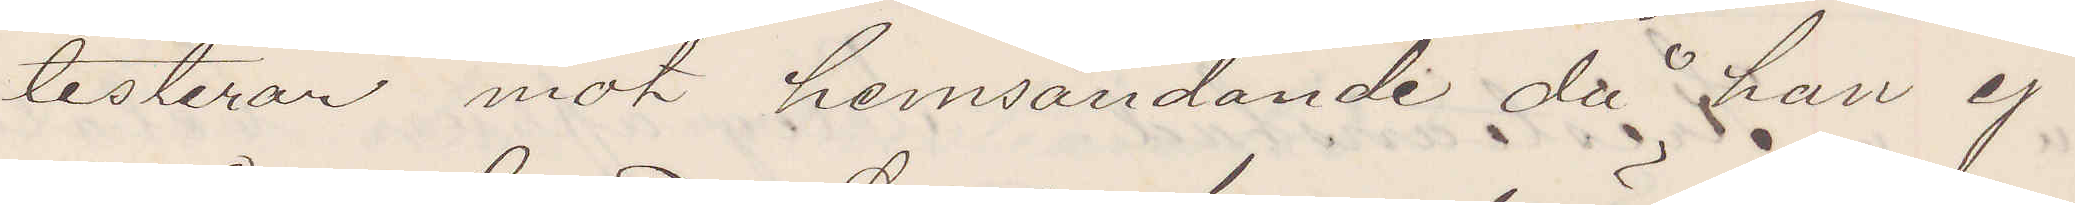testerar mot hemsändande då han ej
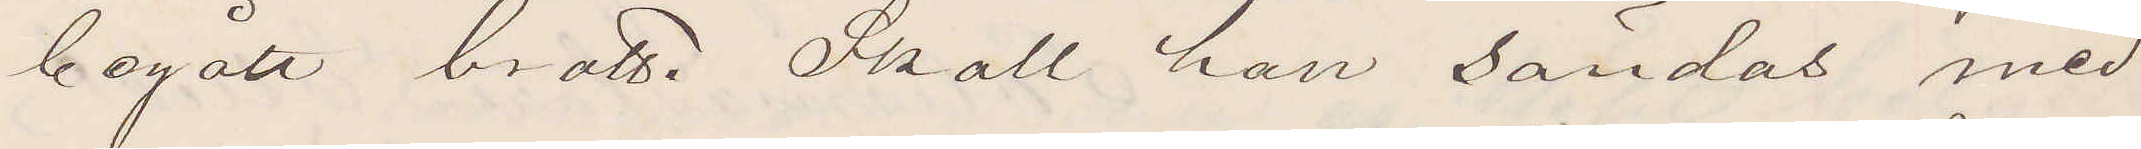begått brott. Skall han sändas med
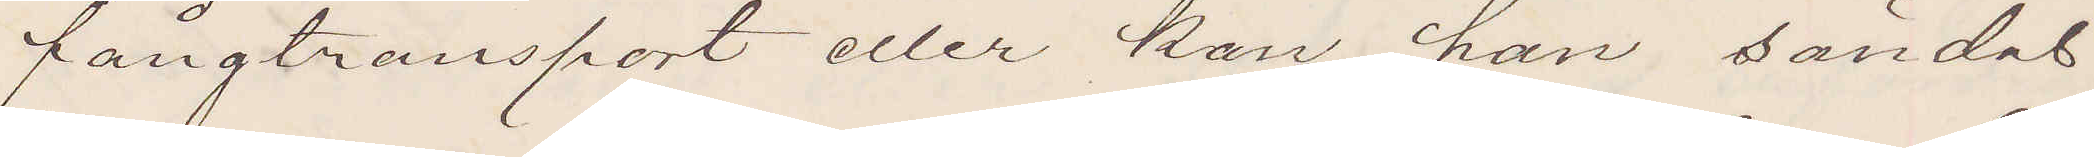fångtransport eller kan han sändas
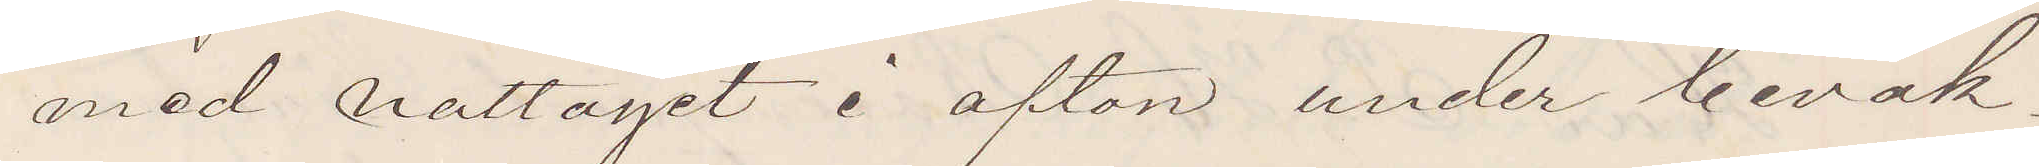med nattåget i afton under bevak¬
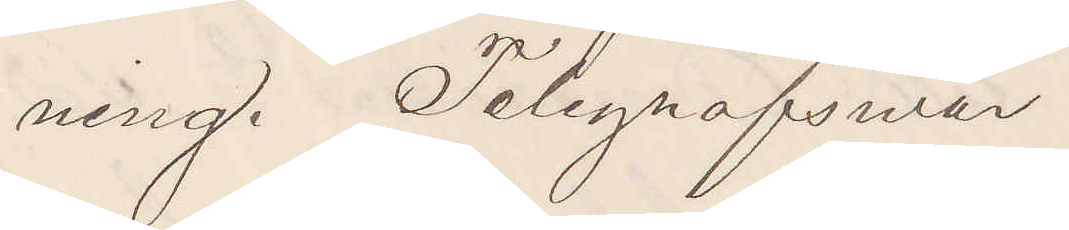ning. Telegrafsvar
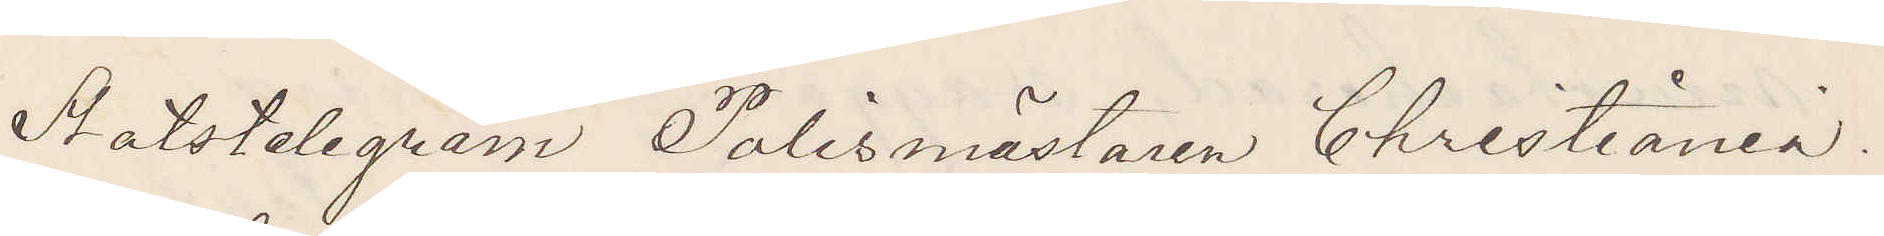Statstelegram Polismästaren Christiania.
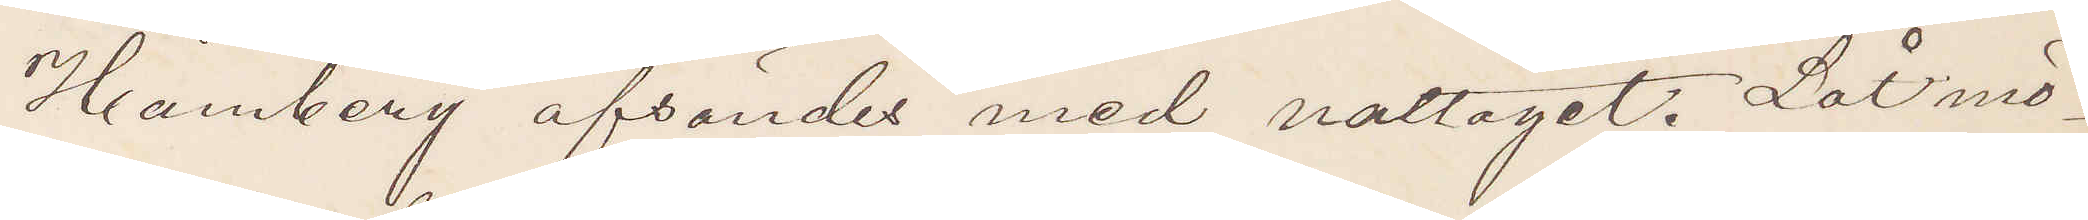Hamberg afsändes med nattåget. Låt mö¬
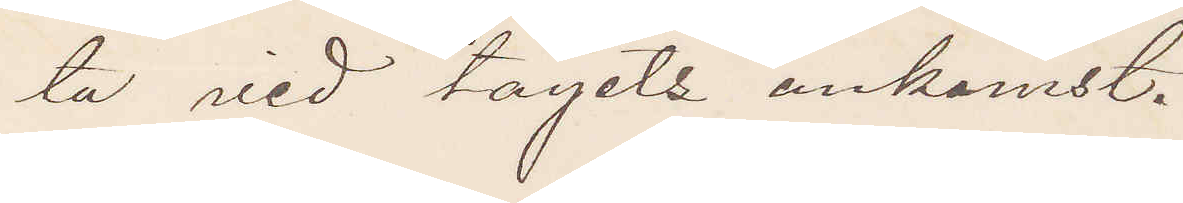ta vid tågets ankomst.
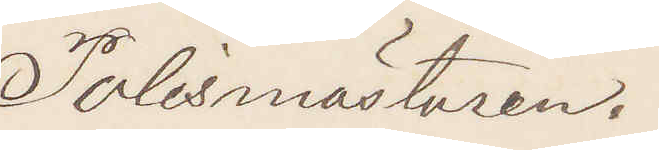Polismästaren.
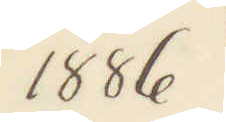1886.
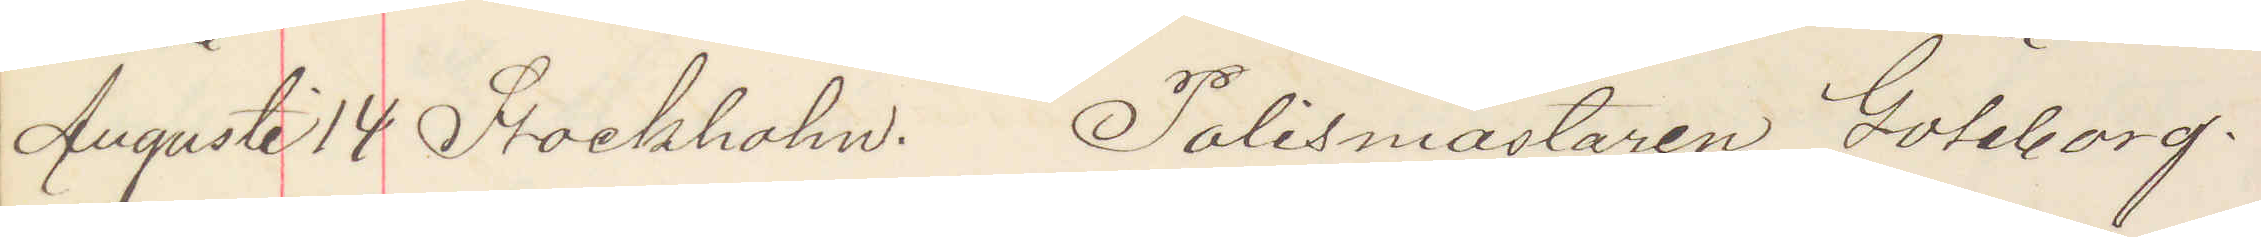Augusti 14 Stockholm. Polismästaren Göteborg.
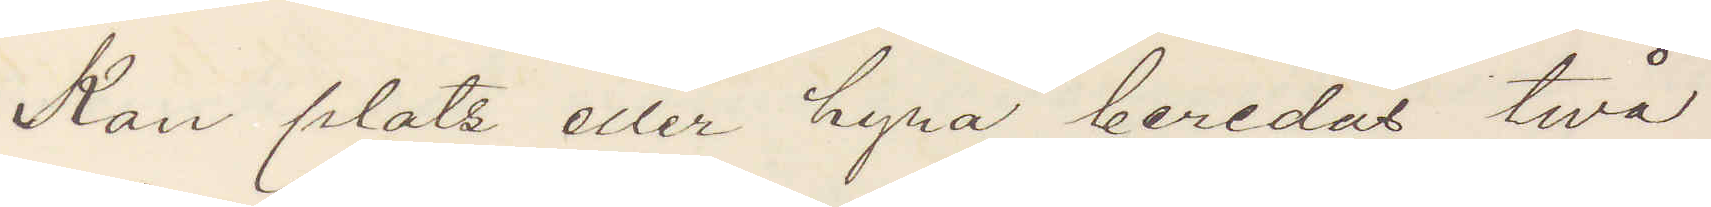Kan plats eller hyra beredas två
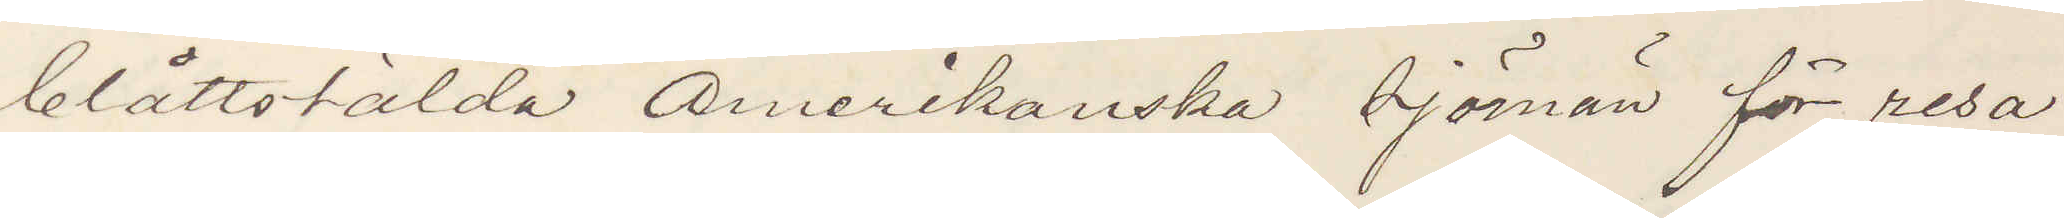blåttstälda Amerikanska sjöman för resa
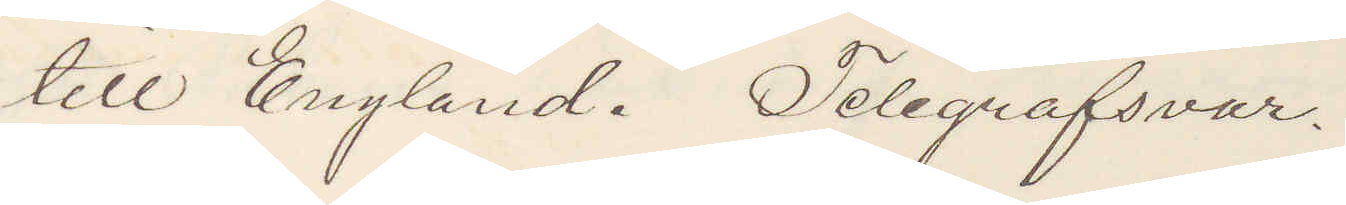till England. Telegrafsvar.
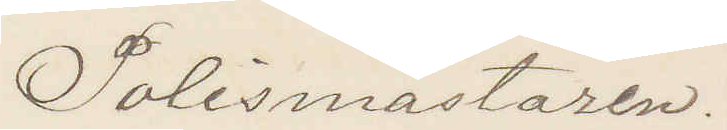Polismästaren.
